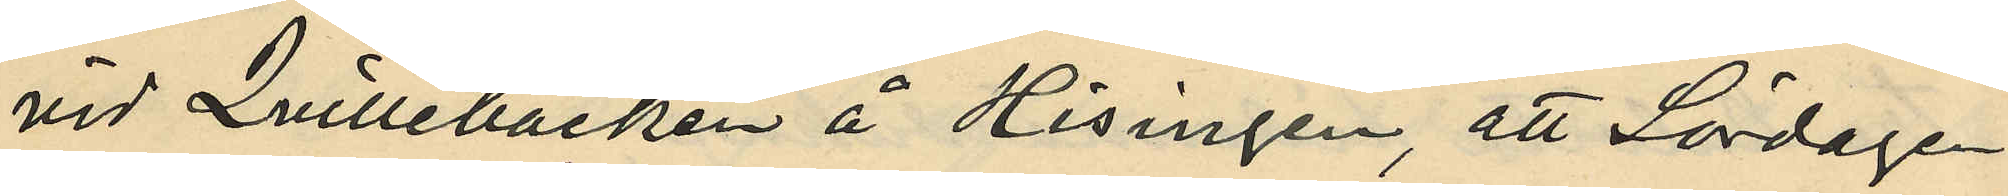vid Quillebäcken å Hisingen, att Lördagen
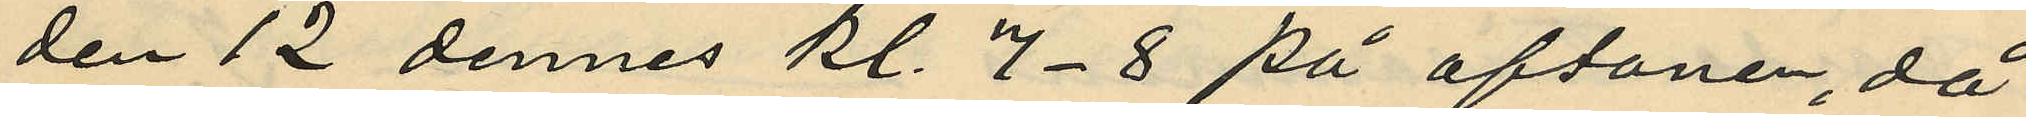den 12 dennes kl. 7-8 på aftonen, då
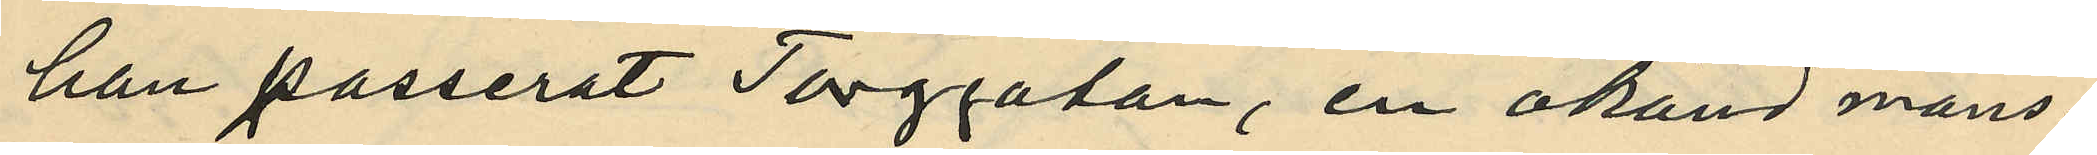han passerat Torggatan, en okänd mans¬
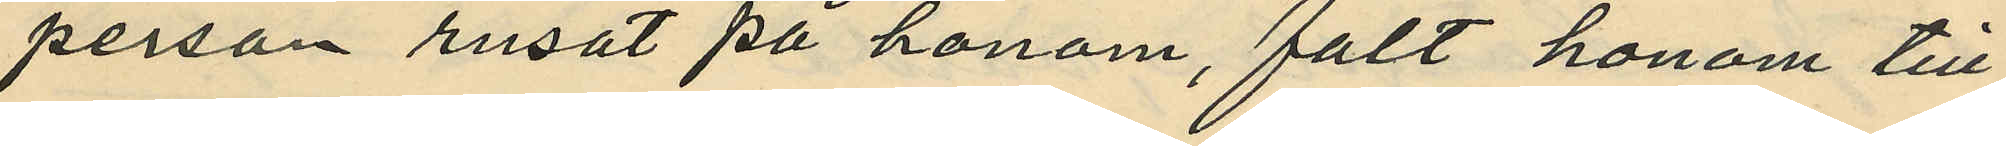person rusat på honom, fällt honom till
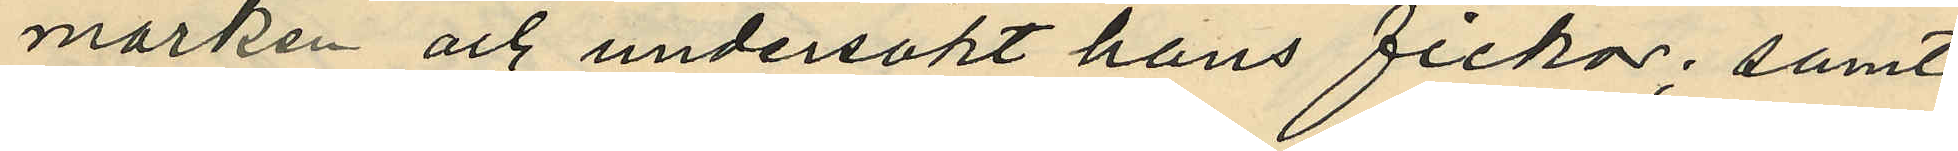marken och undersökt hans fickor; samt
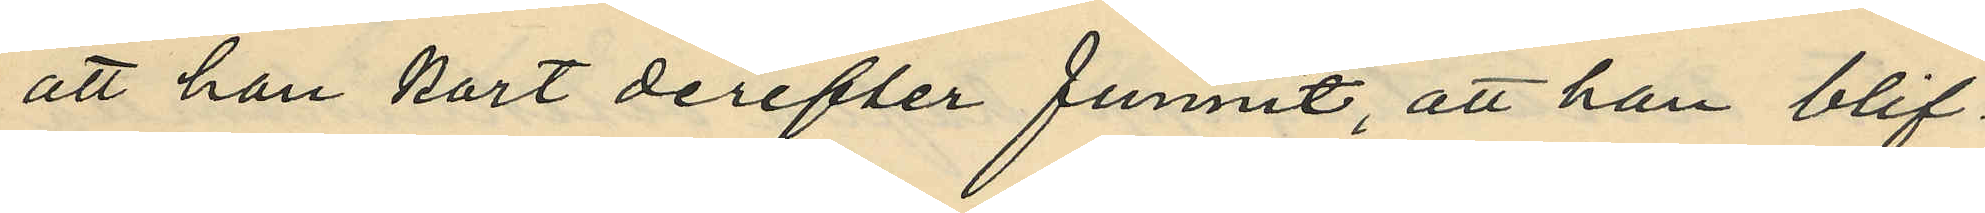att han kort derefter funnit, att han blif¬
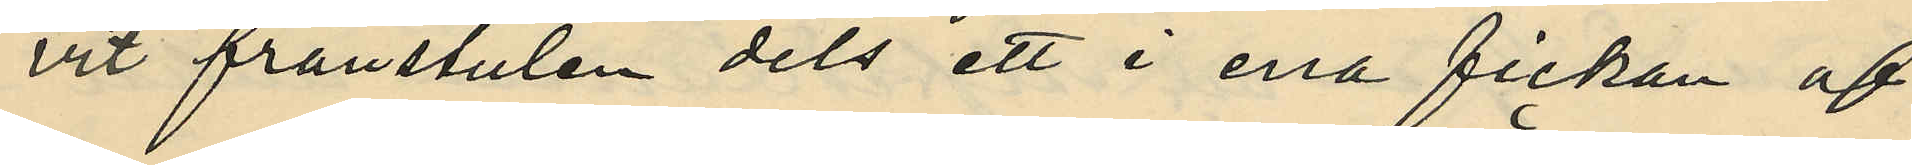vit frånstulen dels ett i ena fickan af
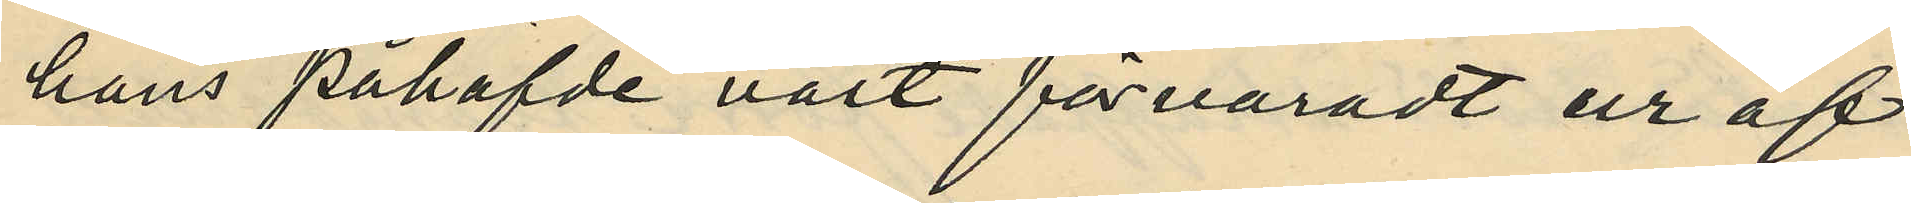hans påhafvde väst förvaradt ur af
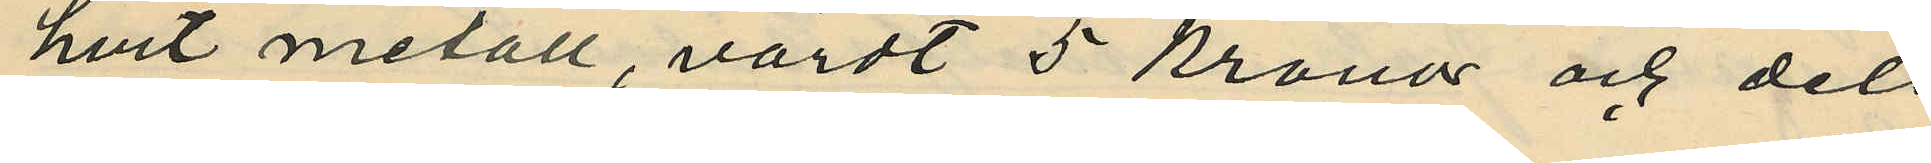hvit metall, värdt 5 kronor och dels
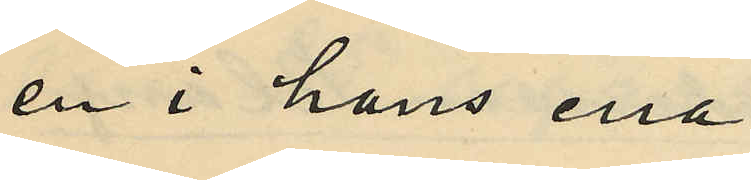en i hans ena
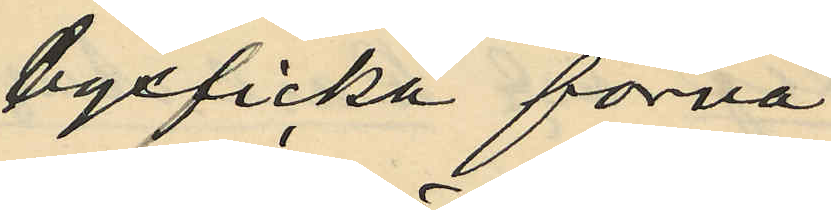byxficka förva¬
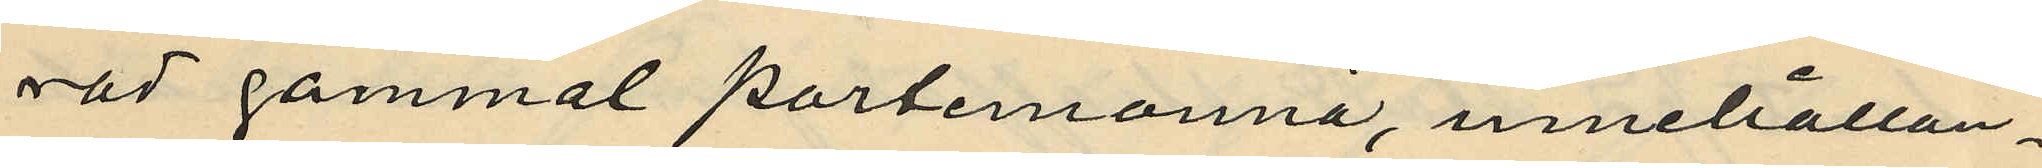rad gammal portemonnä, innehållan¬
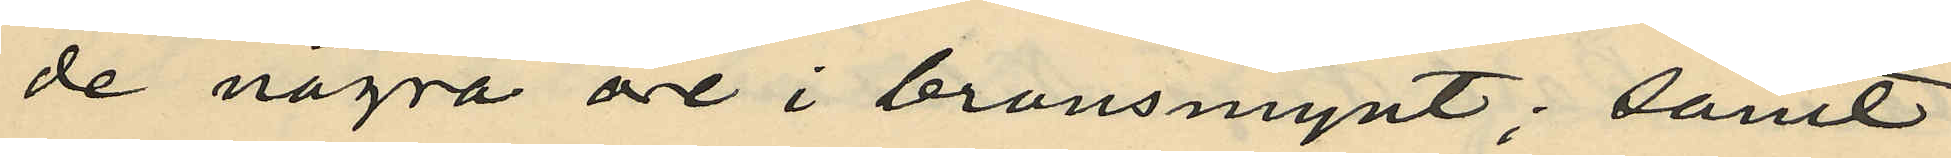de några öre i bronsmynt; samt
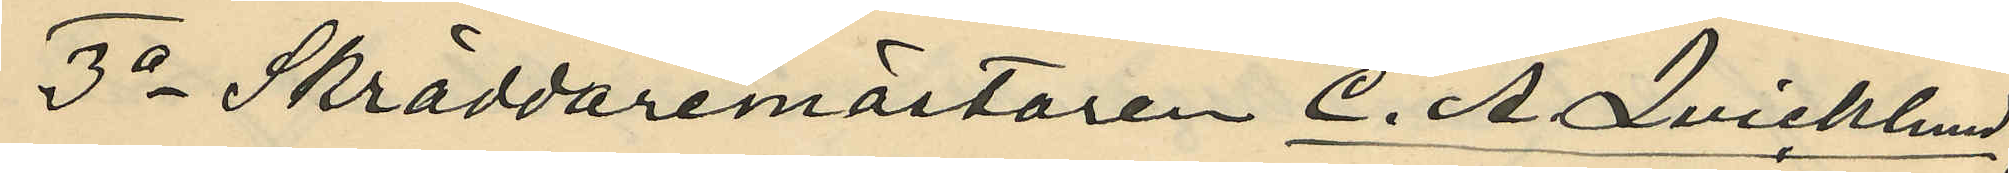3o Skräddaremästaren C. A. Qvicklund,
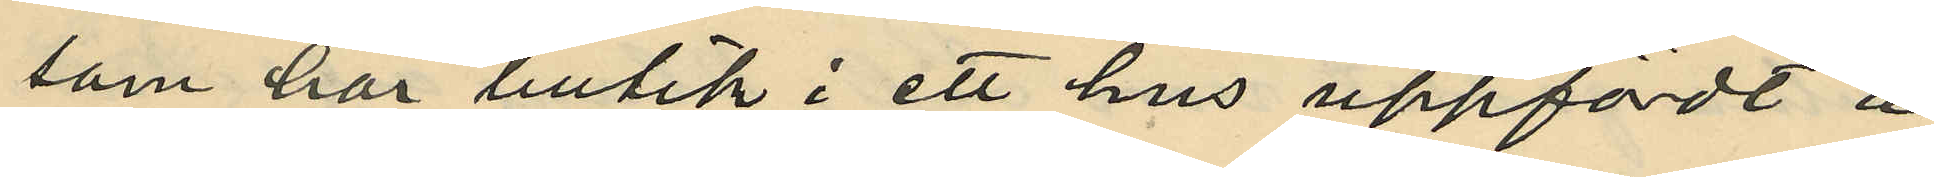som har butik i ett hus uppfördt å
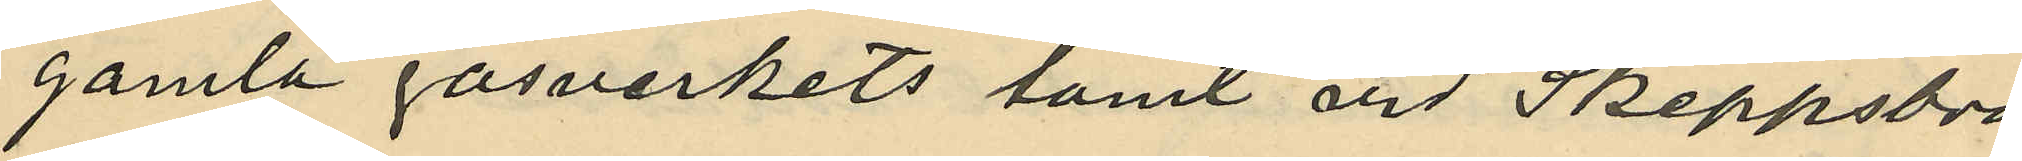gamla gasverkets tomt vid Skeppsbro¬
